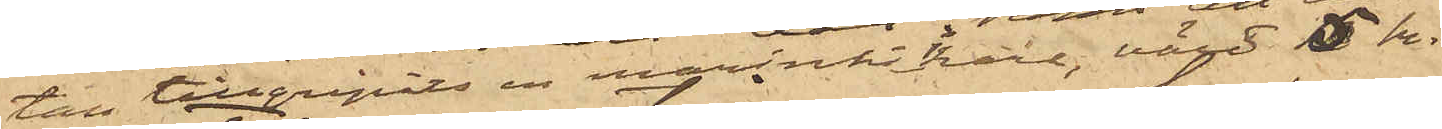tan tillgripits en marinkikare, värd 5 kr.
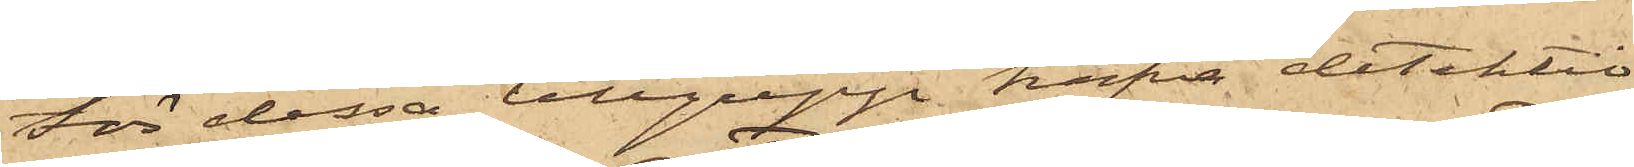För dessa tillgrepp hafva detektiv¬
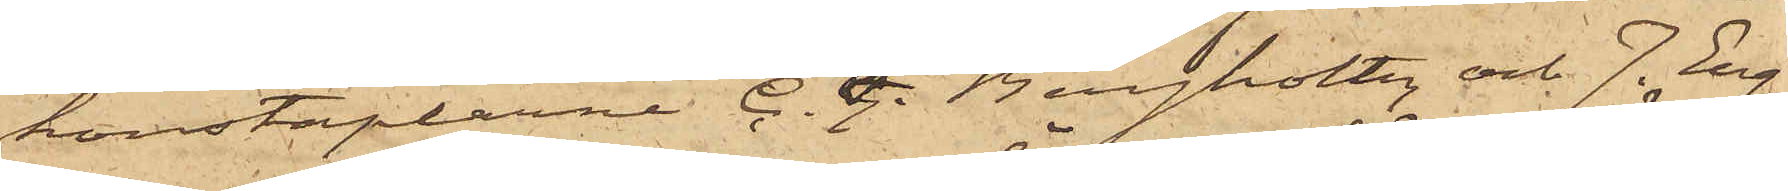konstaplarne C. F. Bergholtz och J. Eng¬
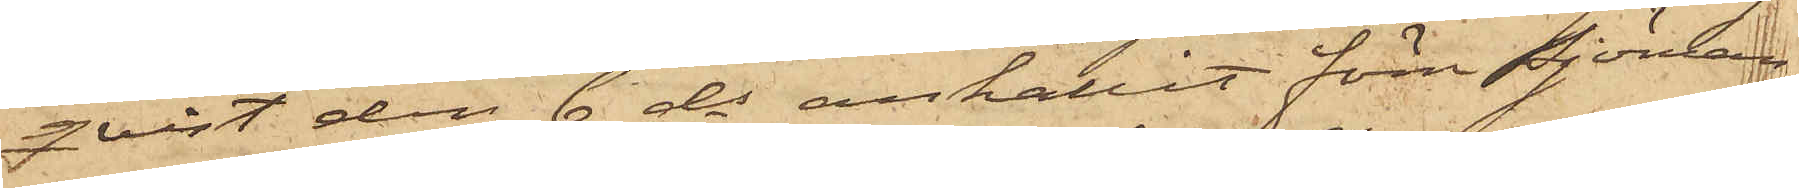qvist den 6 ds anhållit förre Sjöman¬
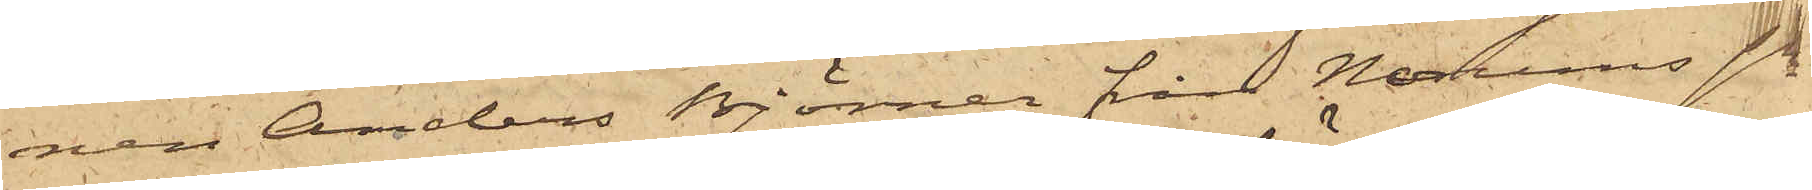nen Anders Björner från Norums Sn
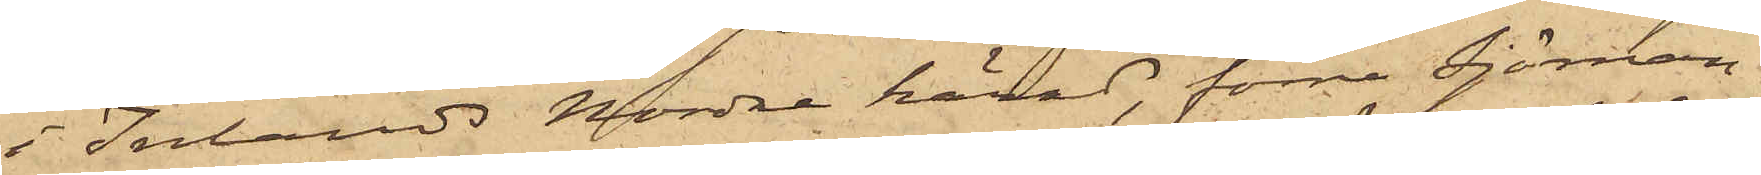i Inlands Nordre härad, förre Sjöman¬
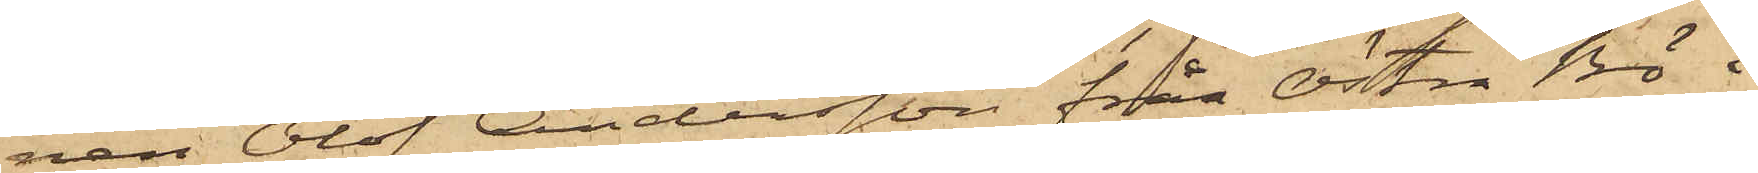nen Olof Andersson från Östra Bö i
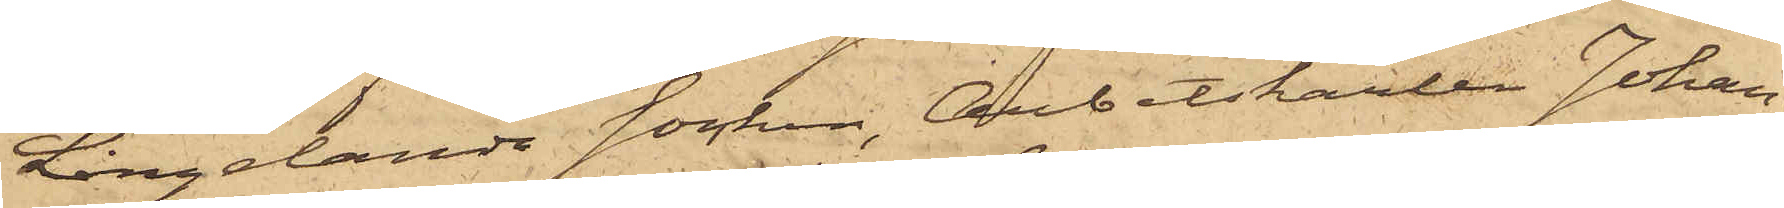Långelanda Socken, Arbetskarlen Johan
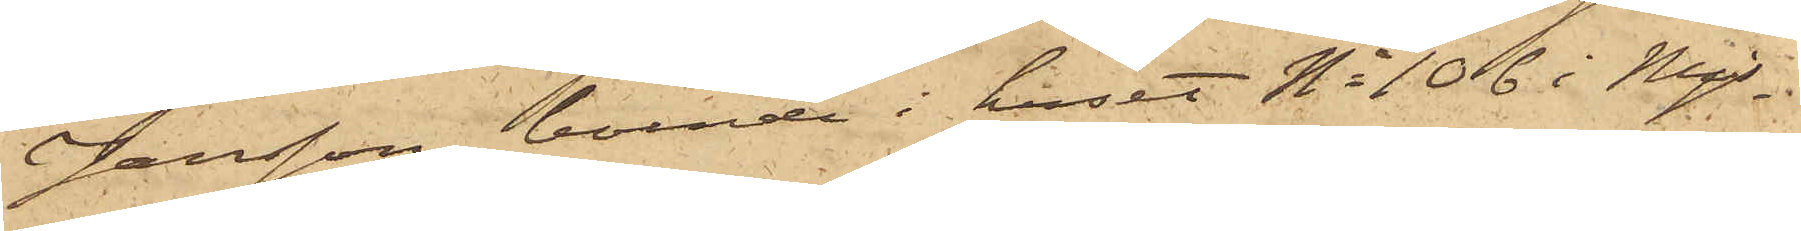Jansson, boende i huset No 106 i Mjs
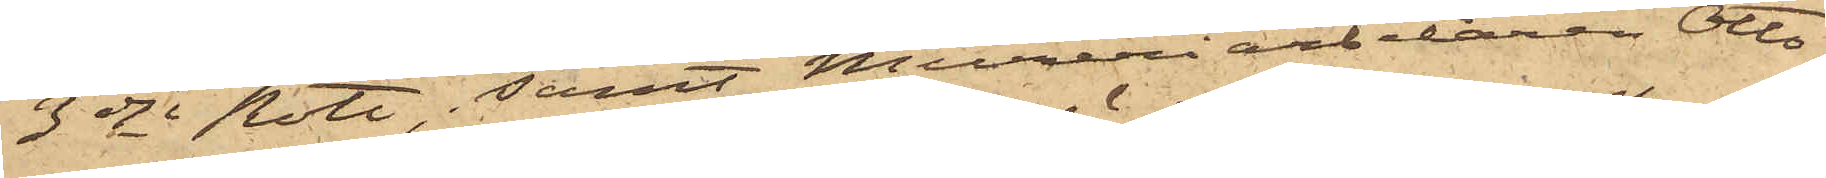3dje Rote, samt Mureriarbetaren Otto
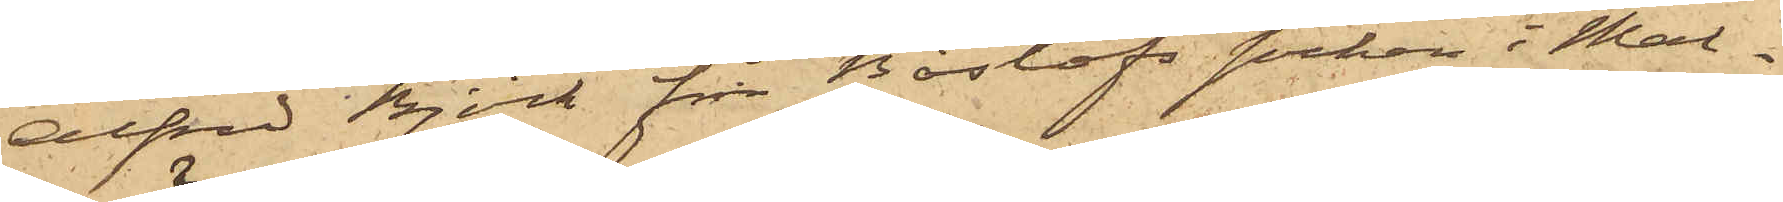Alfred Björk från Bårslöfs socken i Mal¬
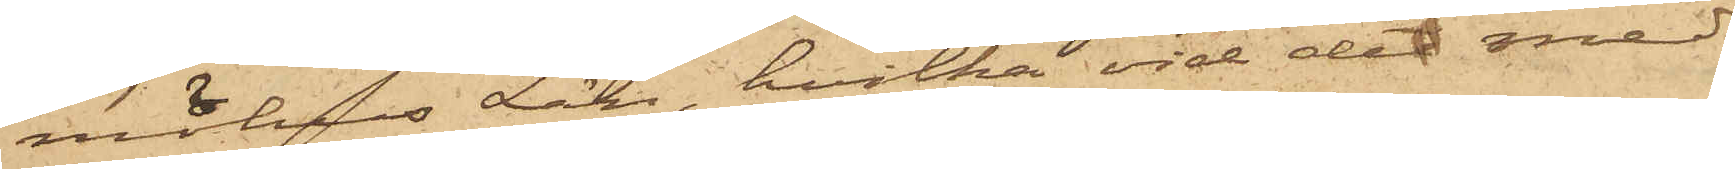möhus Län, hvilka vid det med
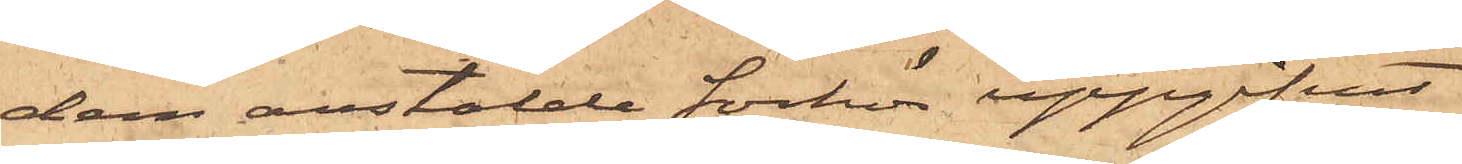dem anstälde förhör uppgifvit
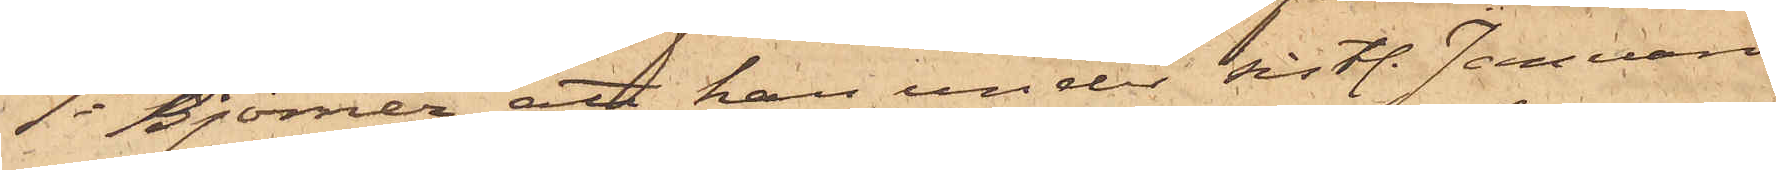1o Björner att han under sistl. Januari
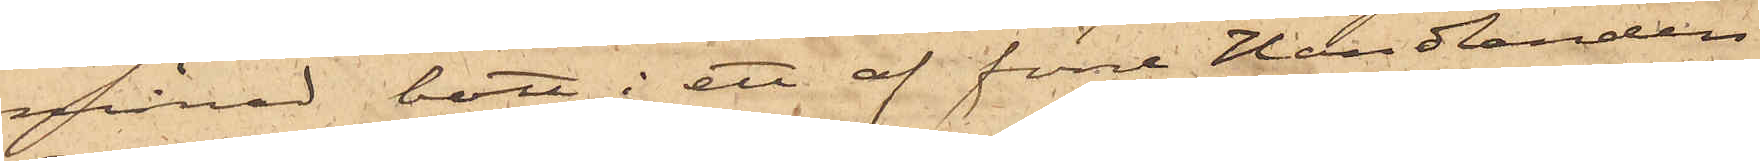månad bott i ett af förre Handlanden
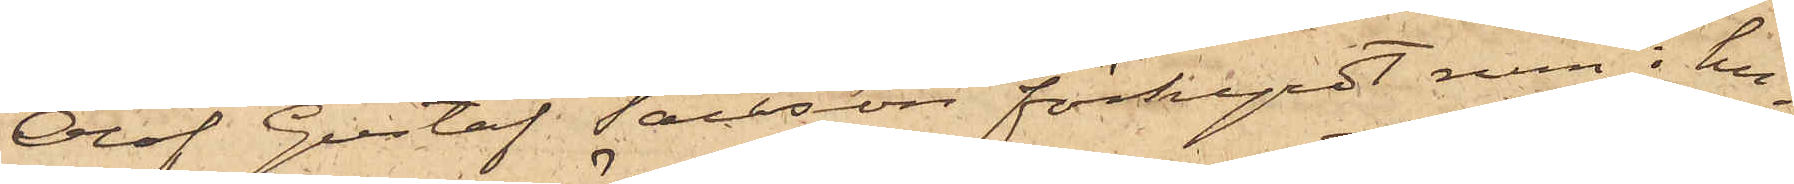Olof Gustaf Tausson förhyrdt rum i hu¬
